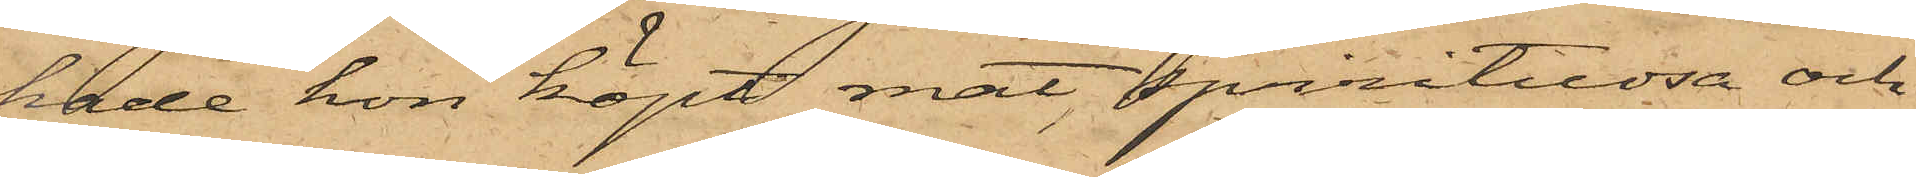hade hon köpt mat, spirituosa och
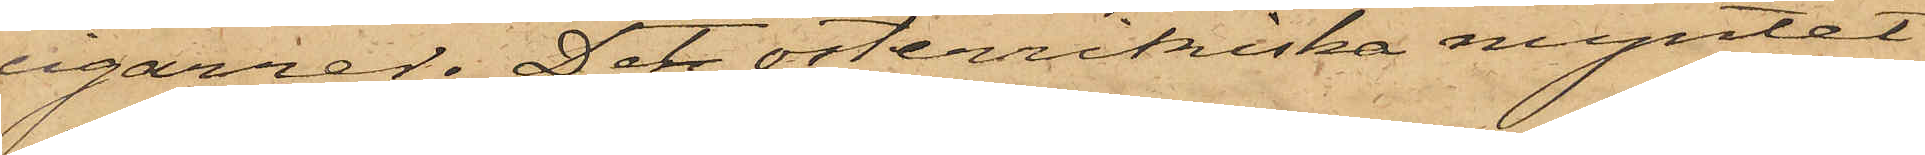cigarrer. Det österrikiska myntet
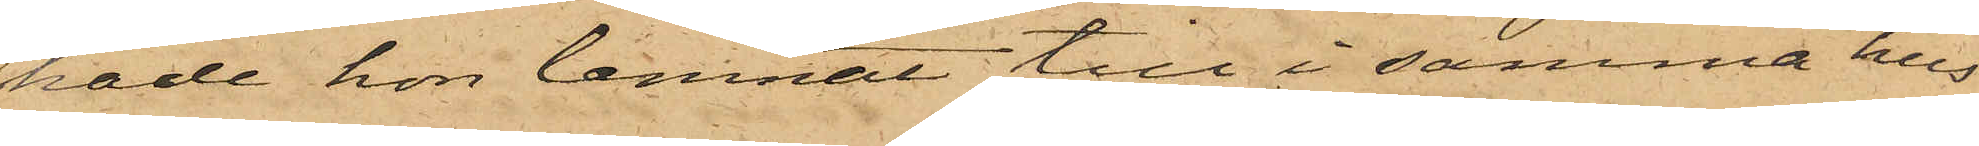hade hon lemnat till i samma hus
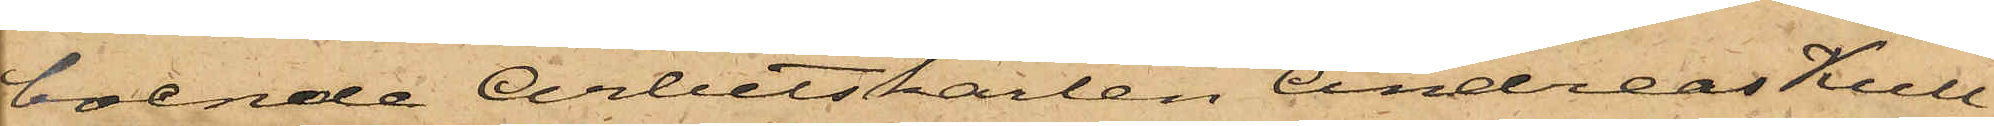boende Arbetskarlen Andreas Kull¬
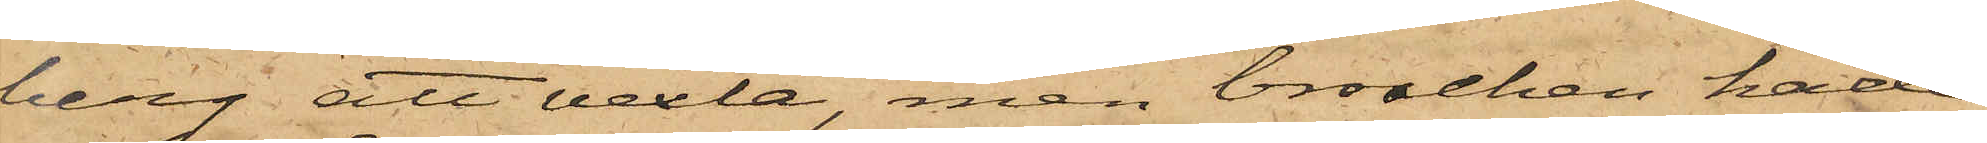berg att vexla, men broschen hade
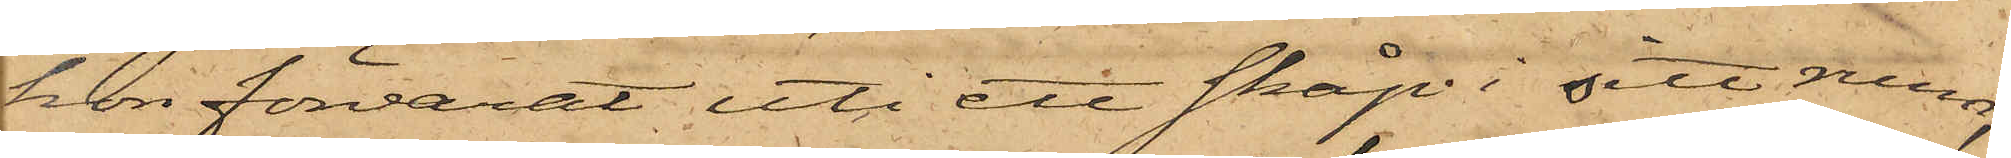hon förvarat uti ett skåp i sitt rum;
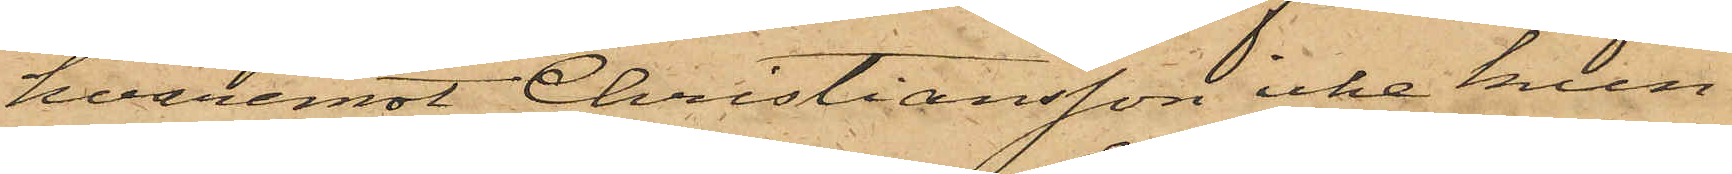hvaremot Christiansson icke kun¬
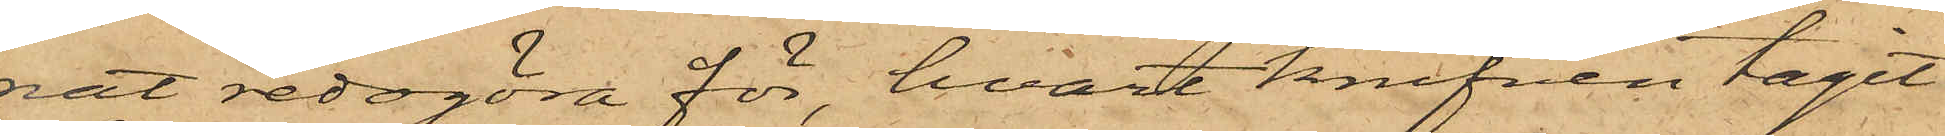nat redogöra för, hvart knifven tagit
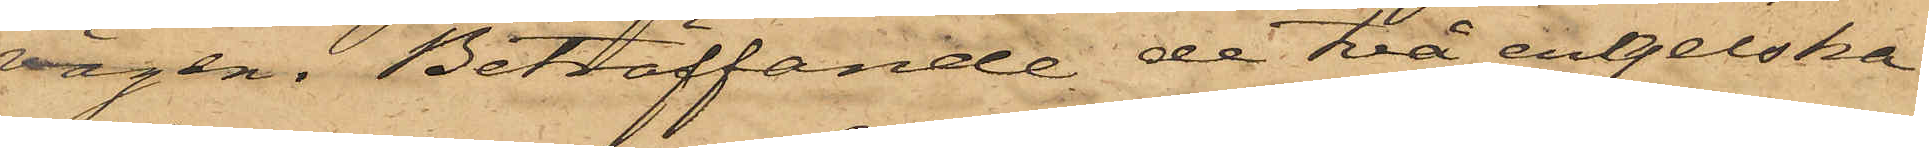vägen. Beträffande de två engelska
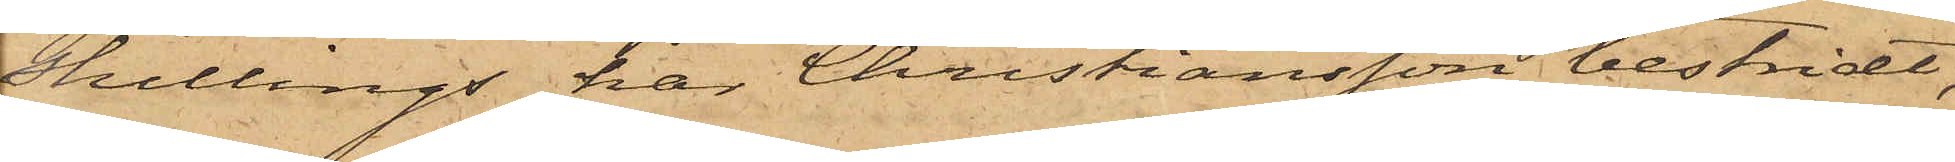shillings, har Christiansson bestridt,
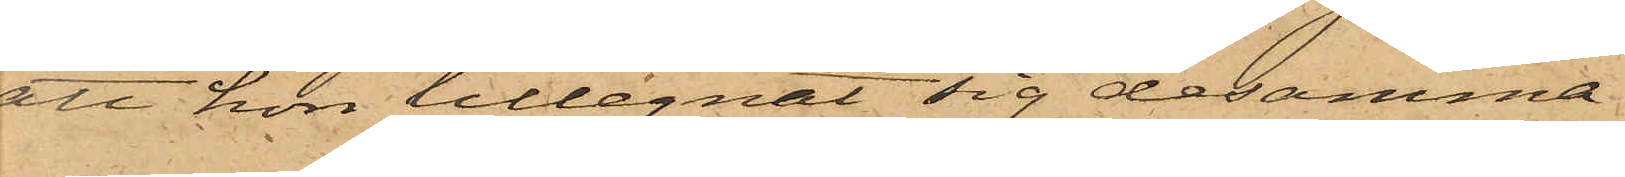att hon tillegnat sig desamma.
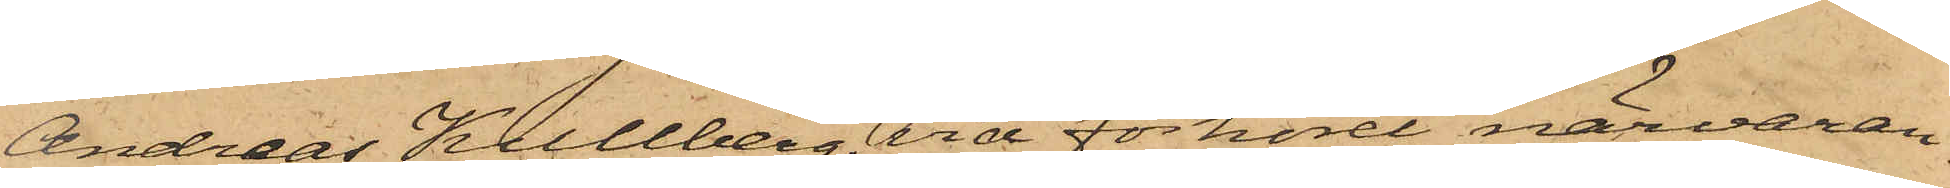Andreas Kullberg, vid förhöret närvaran¬
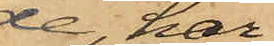de, har
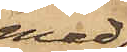med¬
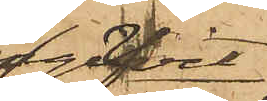gifvit
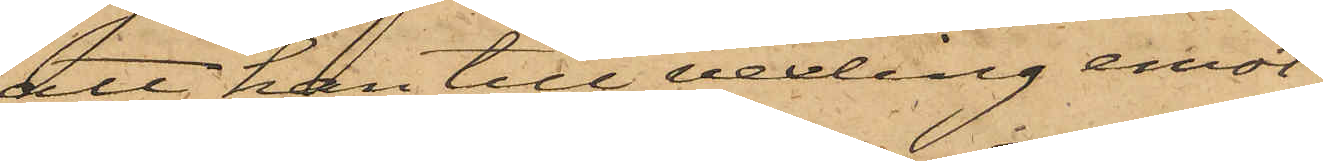att han till vexling emot¬
